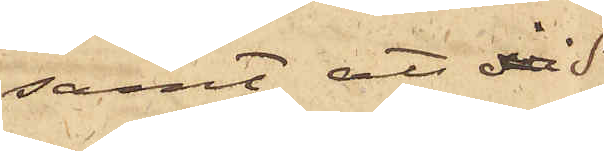samt att vid
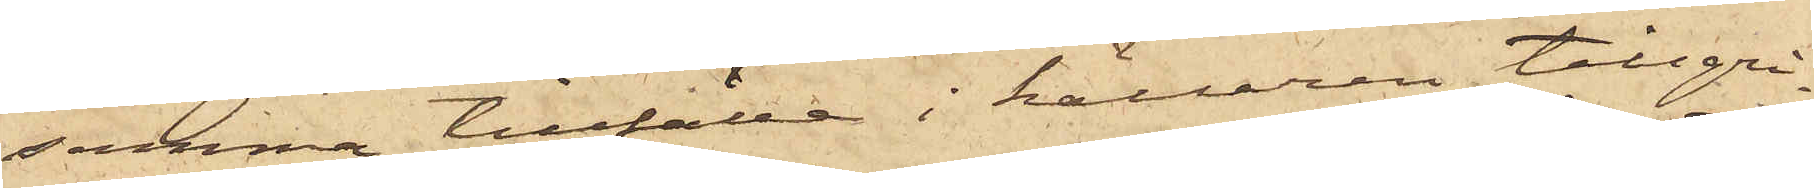samma tillfälle i källaren tillgri¬
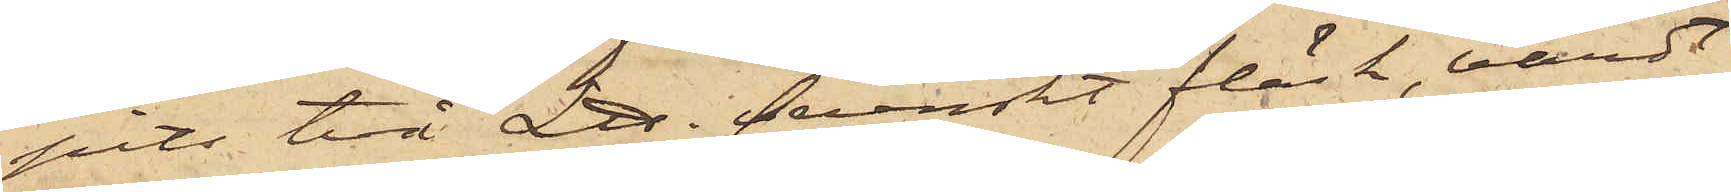pits två L℔ svenskt fläsk, värdt
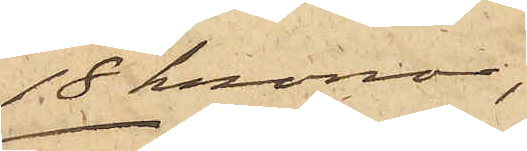18 kronor;,
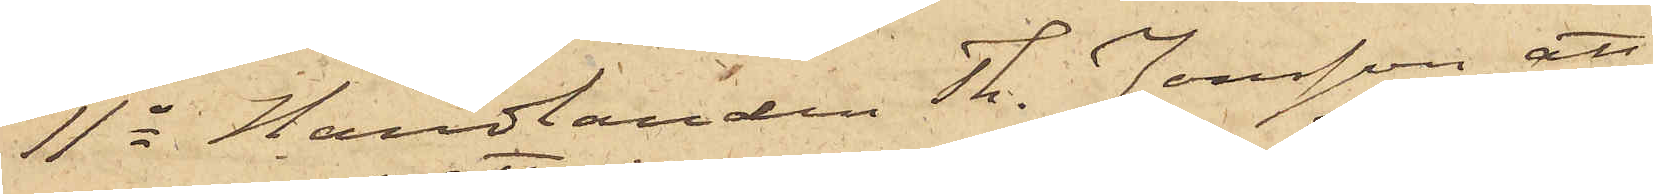11o Handlanden Th. Jonsson, att
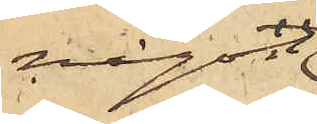någon
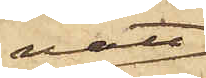natt
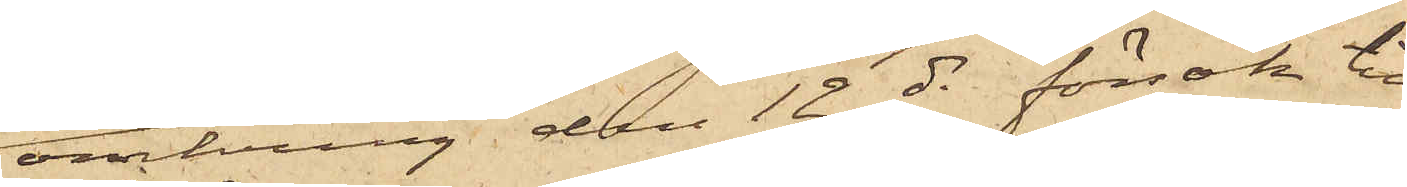omkring den 12 ds försök till
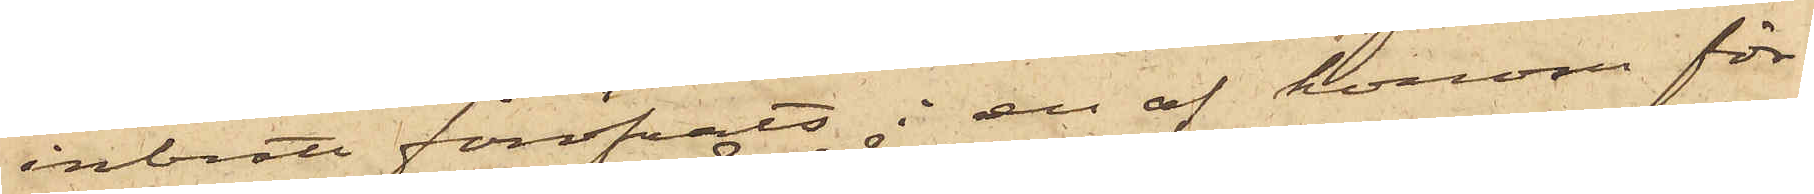inbrott föröfvats i en af honom för¬
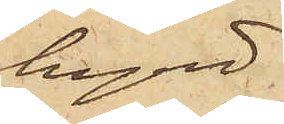hyrd
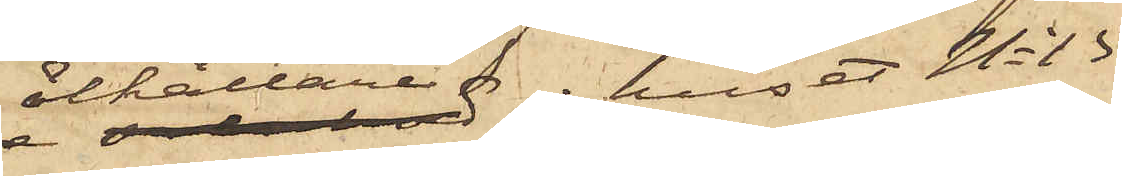ölkällare i huset No 15
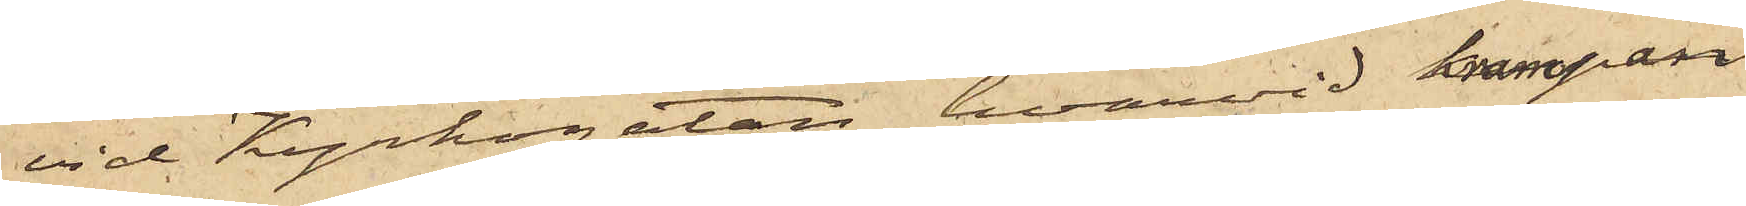vid Kyrkogatan, hvarvid krampan
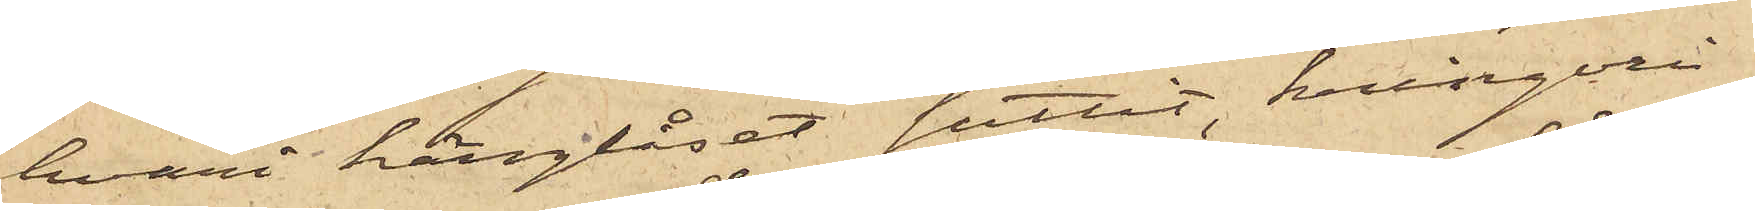hvari hänglåset suttit, kringvri¬
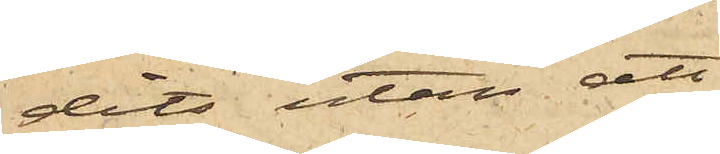dits utan att
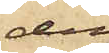den
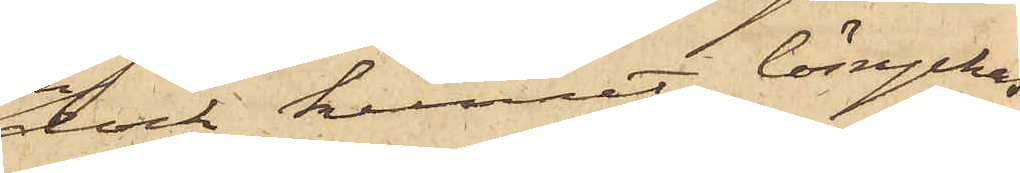dock kunnat lösryckas;
